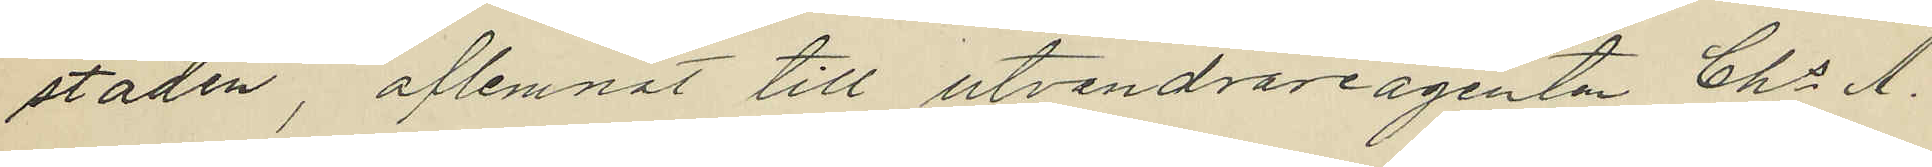staden, aflemnat till utvandrareagenten Chs A.
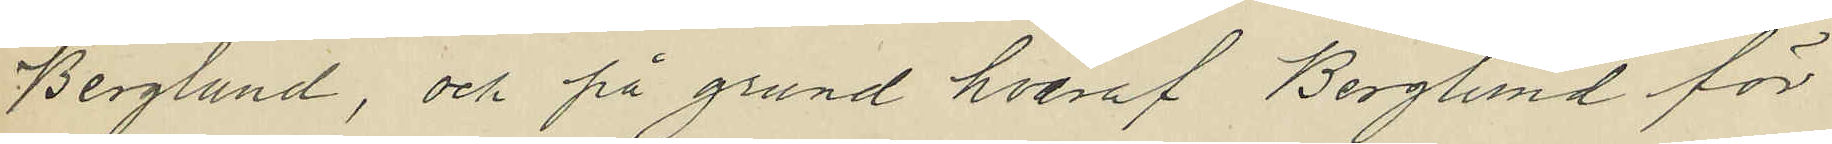Berglund, och på grund hvaraf Berglund för
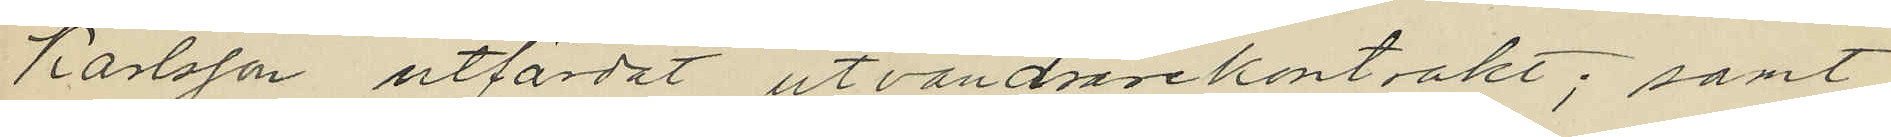Karlsson utfärdat utvandrarekontrakt; samt
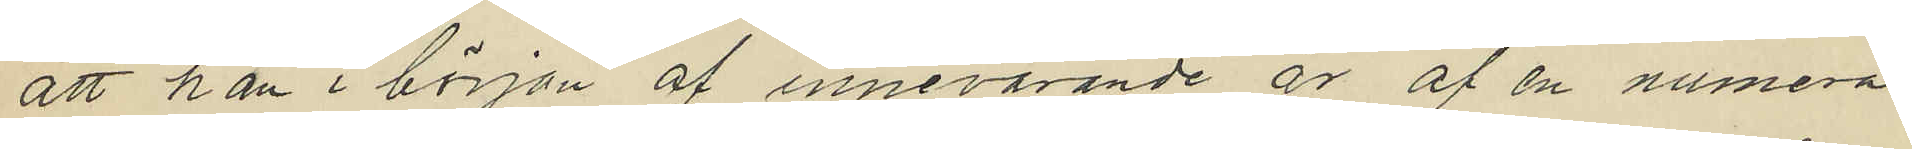att han i början af innevarande är af en numera
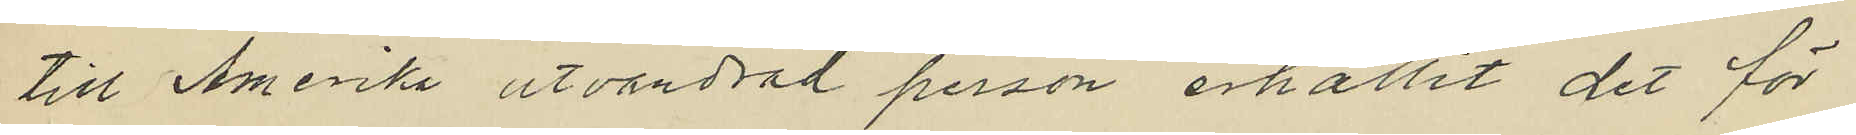till Amerika utvandrad person erhållit det för
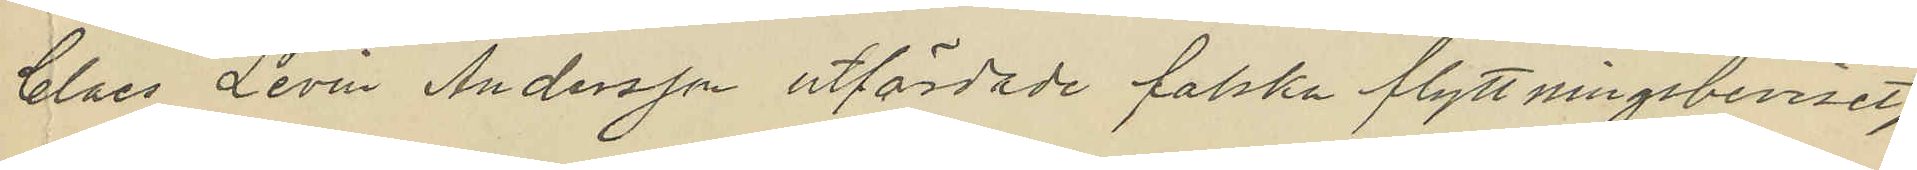Claes Levin Andersson utfärdade falska flyttningsbeviset,
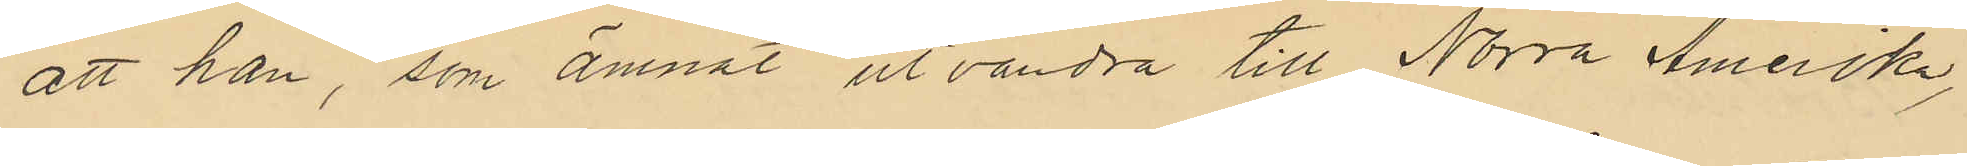att han, som ämnat utvandra till Norra Amerika,
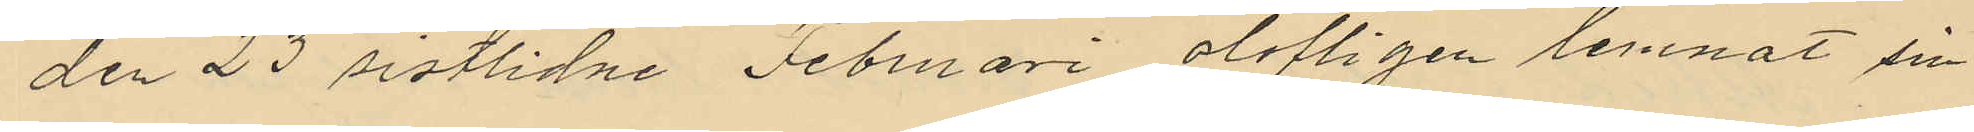den 23 sistlidne Februari olofligen lemnat sin
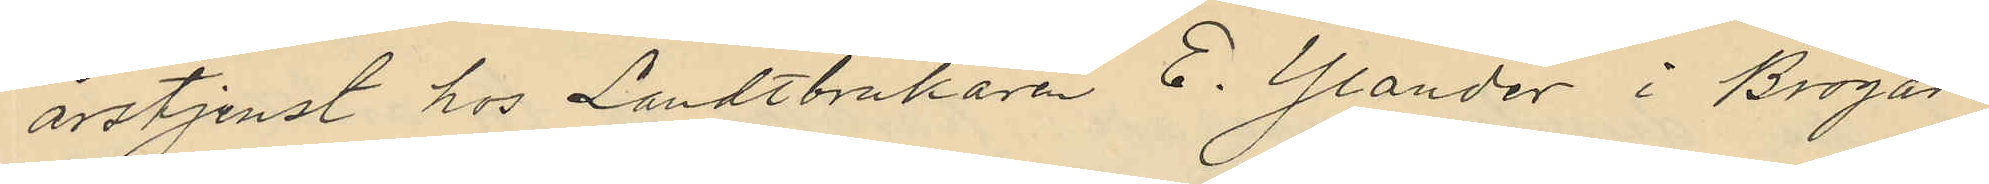årstjenst hos Landtbrukaren E. Ylander i Brogår¬
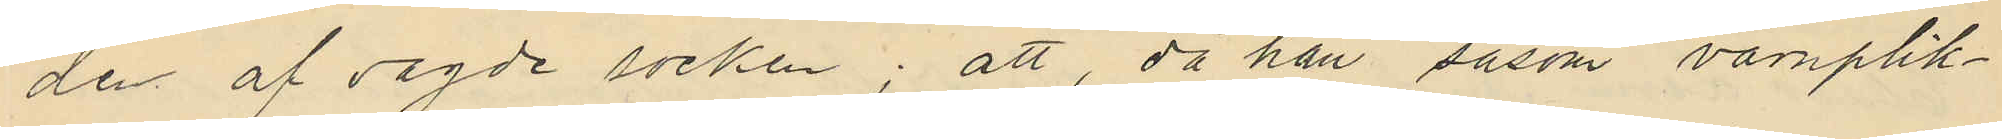den af sagde socken; att, då han såsom värnplik¬
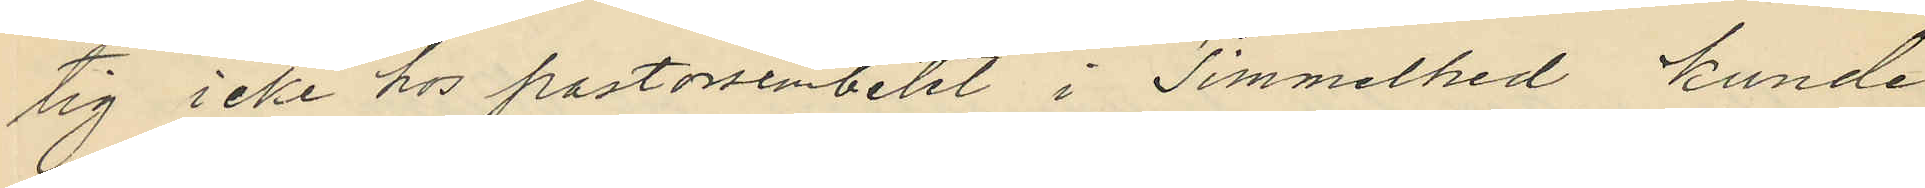tig icke hos pastorsembetet i Timmelhed kunde
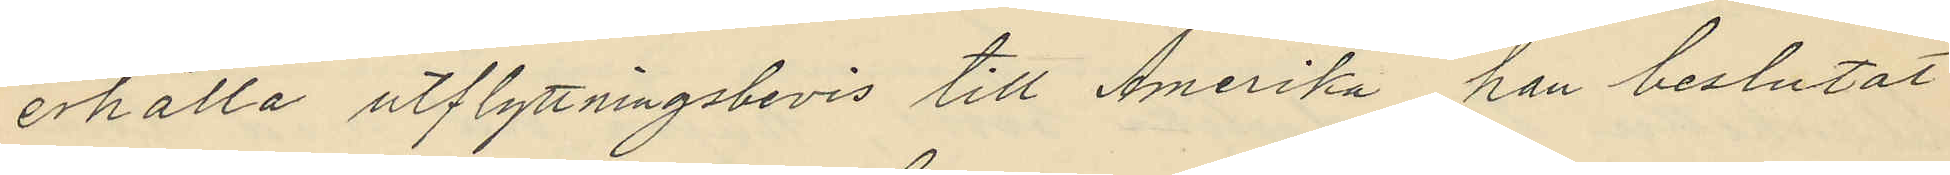erhålla utflyttningsbevis till Amerika han beslutat
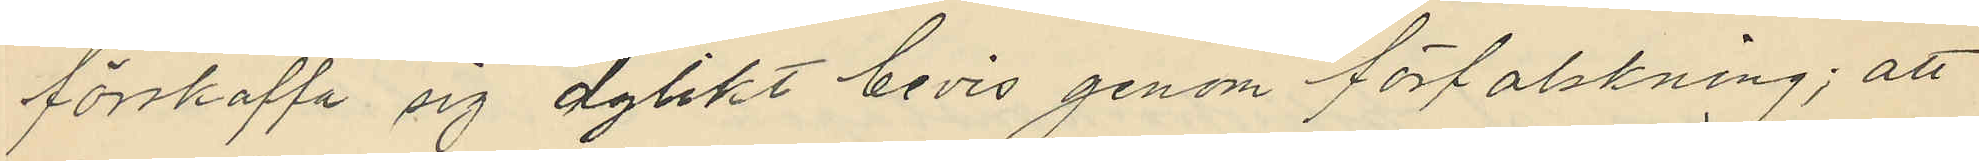förskaffa sig dylikt bevis genom förfalskning; att
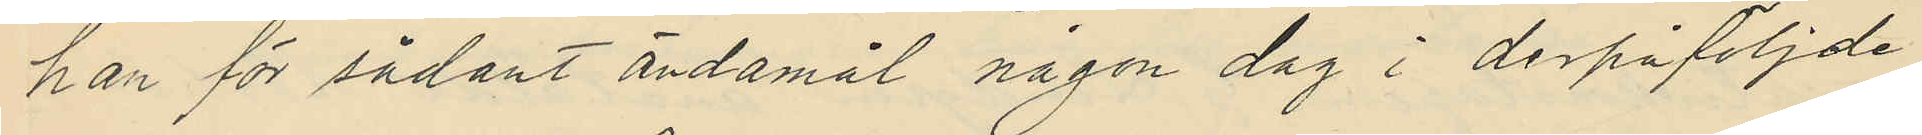han för sådant ändamål någon dag i derpåföljde
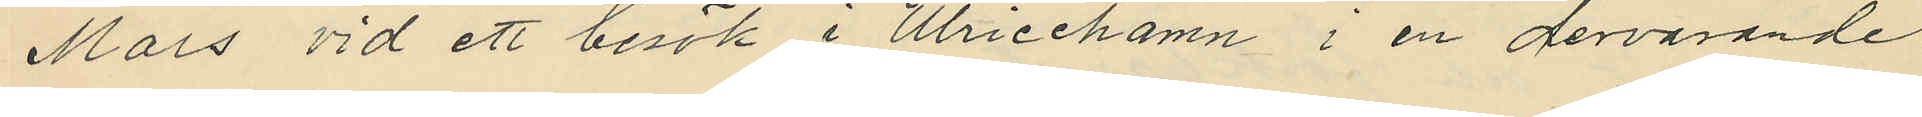Mars vid ett besök i Ulricehamn i en dervarande
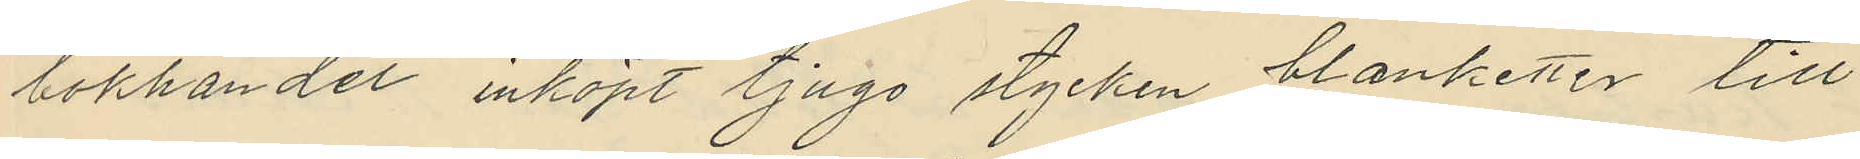bokhandel inköpt tjugo stycken blanketter till
